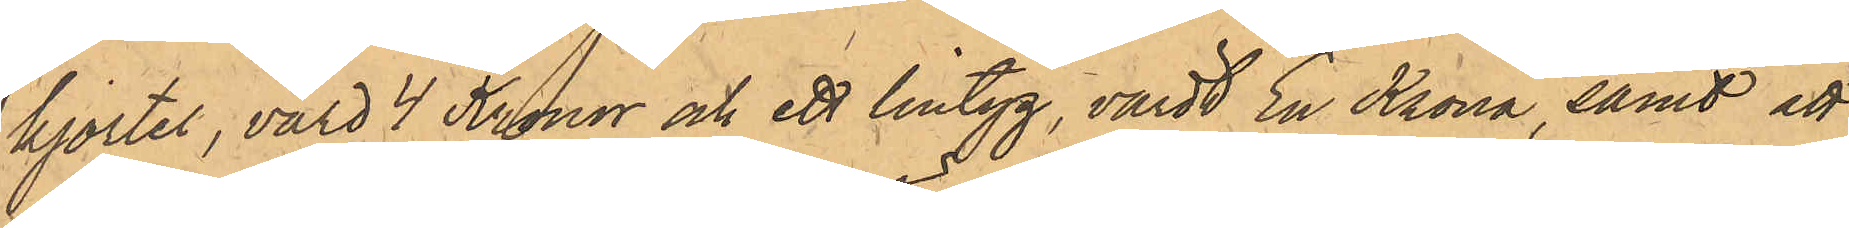kjortel, värd 4 Kronor och ett lintyg, värdt En Krona, samt att
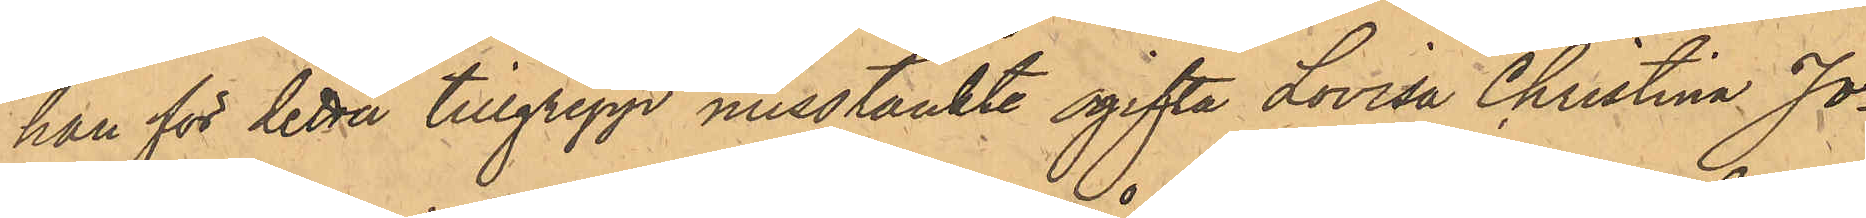han för detta tillgrepp misstänkte ogifta Lovisa Christina Jo¬
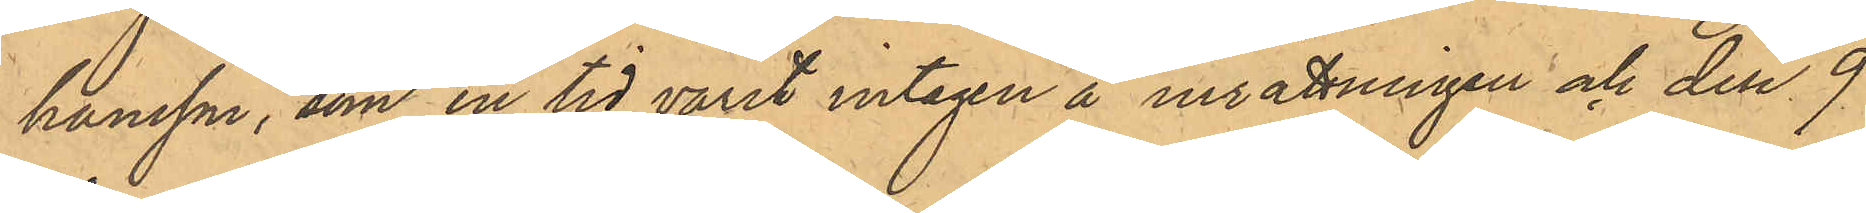hansson, som en tid varit intagen å insättningen och den 9
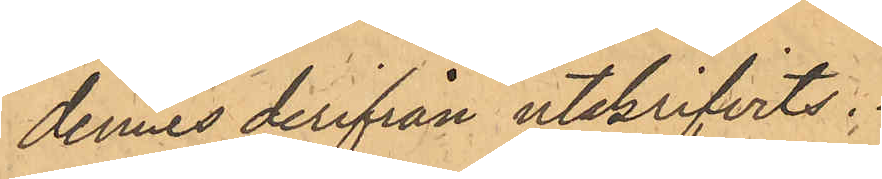dennes derifrån utskrifvits.
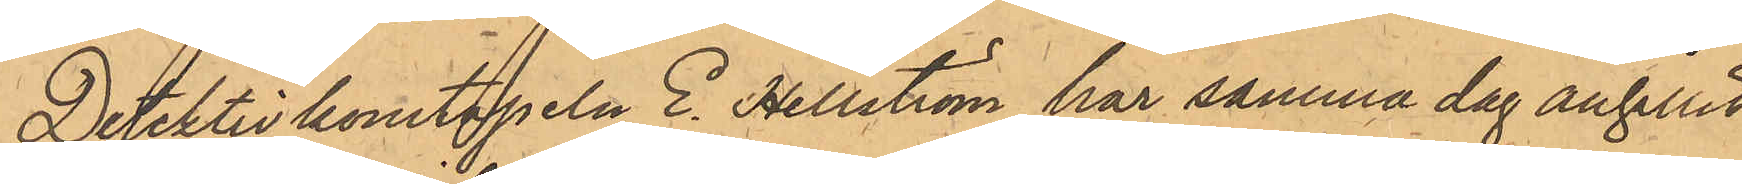Detektivkonstapeln E. Hellström har samma dag anhållit
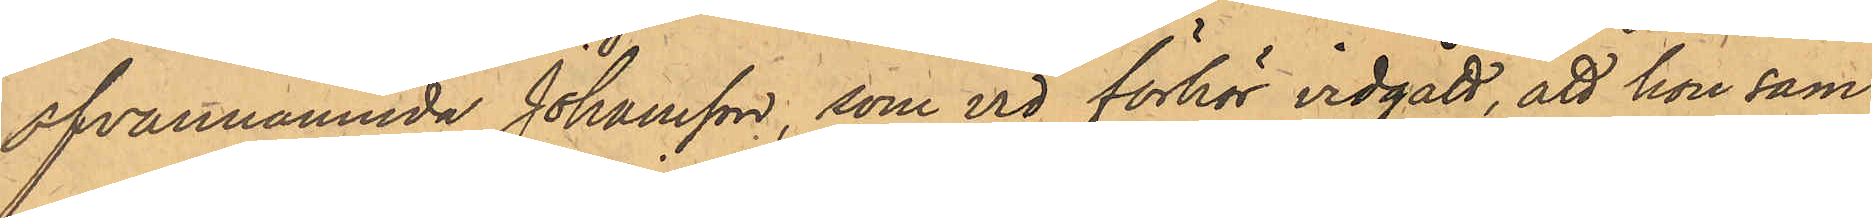ofvannämnda Johansson, som vid förhör vidgått, att hon sam¬
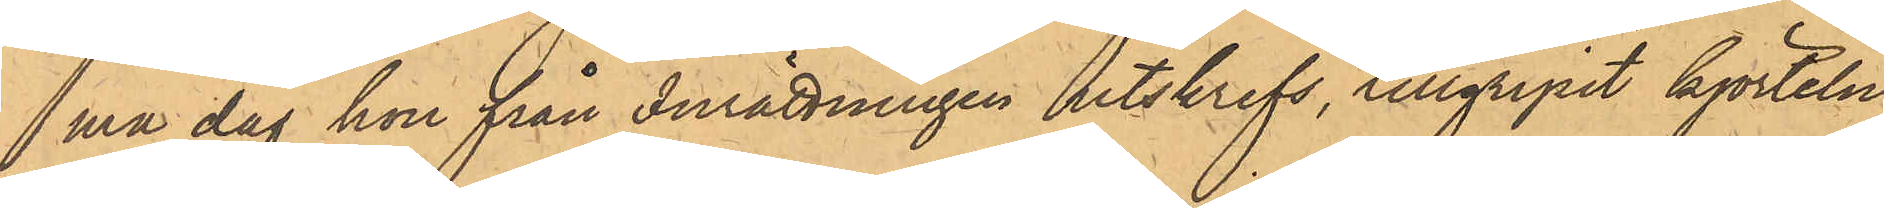ma dag hon från inrättningen utskrefs, tillgripit kjorteln
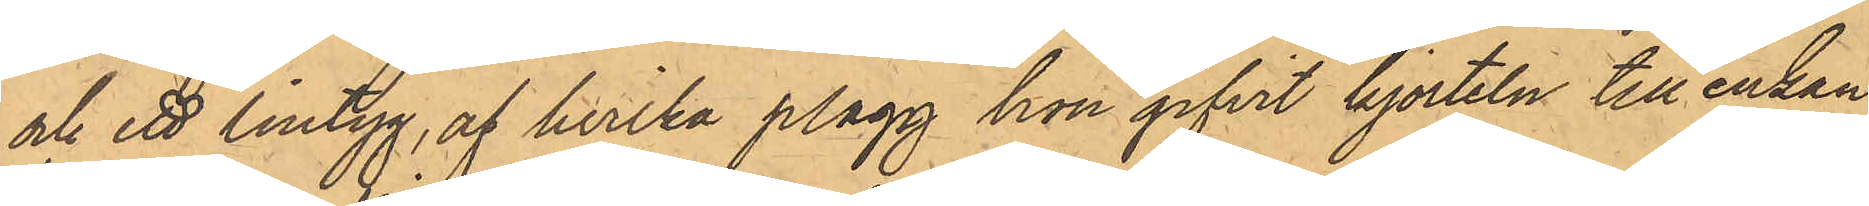och ett lintyg, af hvilka plagg hon gifvit kjorteln till enkan
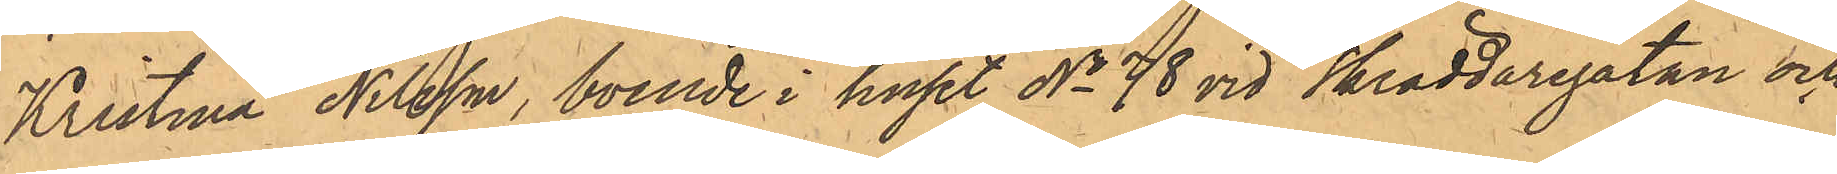Kristina Nilsson, boende i huset No 78 vid Skräddaregatan och
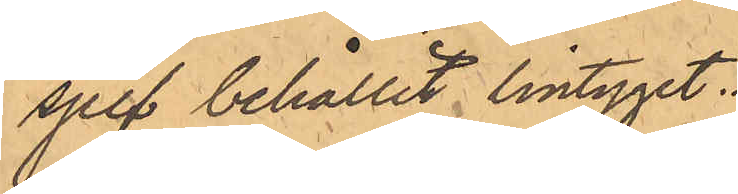sjelf behållit lintyget.
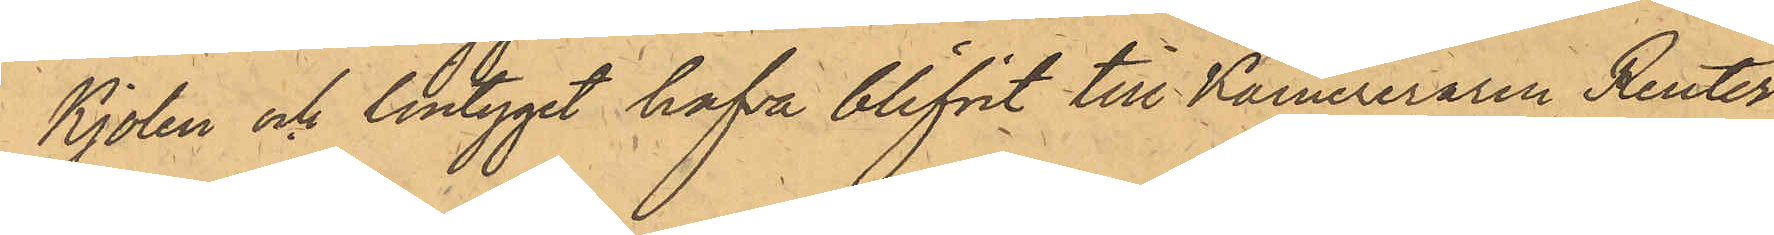Kjolen och lintyget hafva blifvit till Kamereraren Reuter
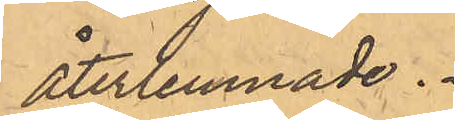återlemnade.
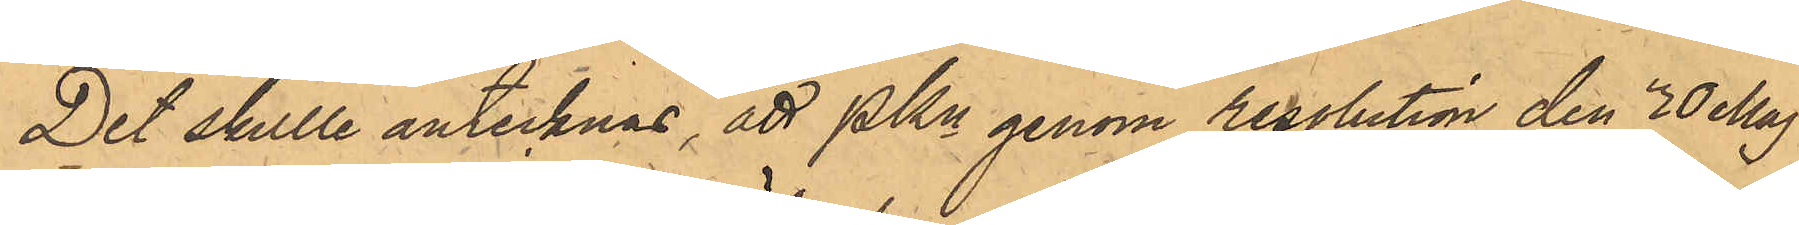Det skulle antecknas, att PKn genom resolution den 30 Maj
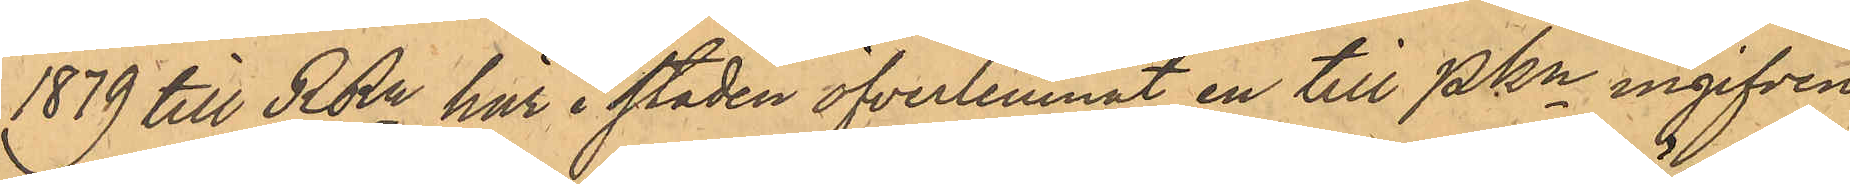1879 till RRn här i staden öfverlemnat en till PKn ingifven
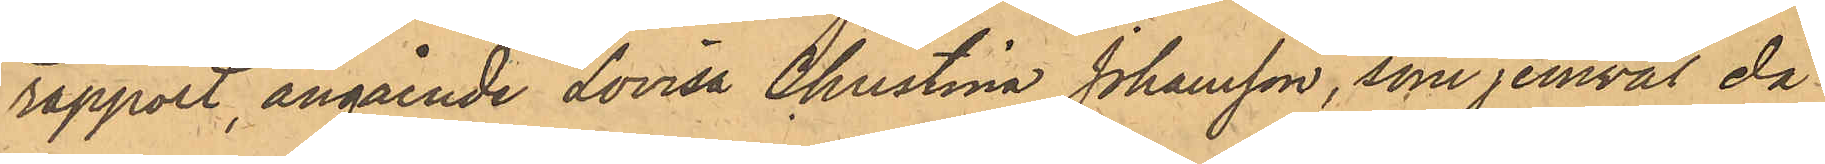rapport, angående Lovisa Christina Johansson, som jemväl då
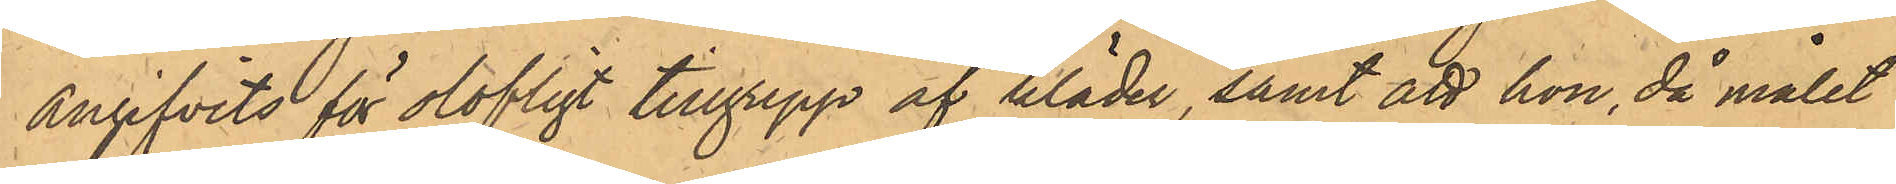angifvits för olofligt tillgrepp af kläder, samt att hon, då målet
